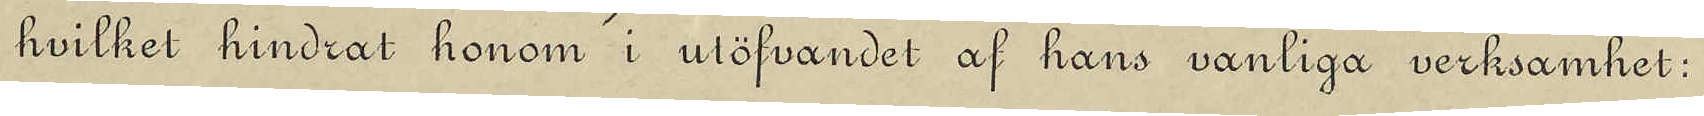hvilket hindrat honom i utöfvandet af hans vanliga verksamhet;
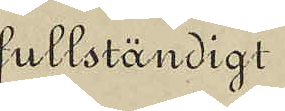fullständigt
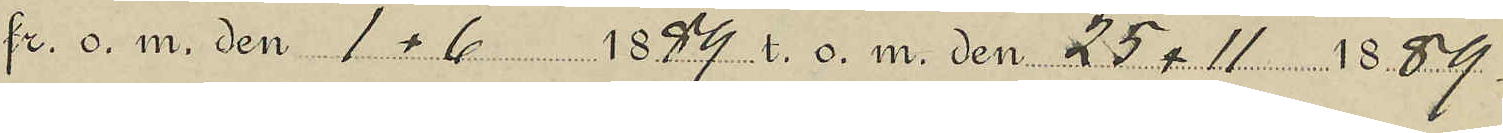fr. o. m. 1.6 1889 t. o. m. 25.11 1889.
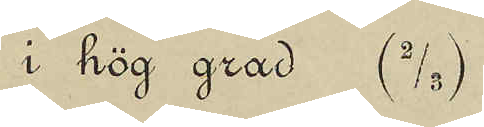i hög grad (2/3)
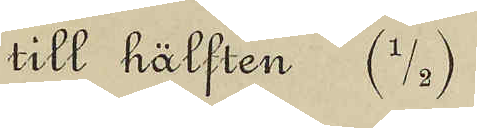till hälften (1/2)
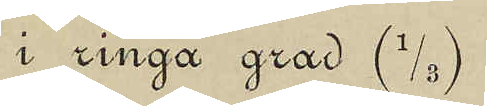i ringa grad (1/3)
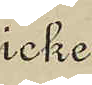icke
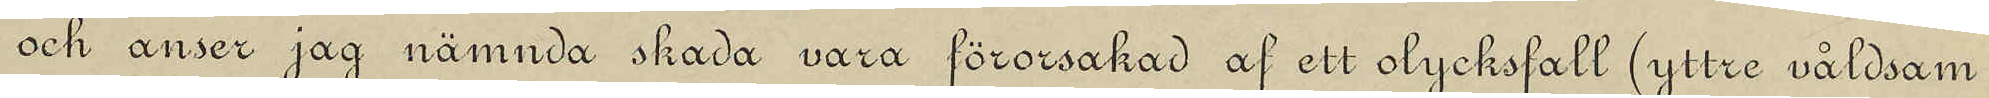och anser jag nämnda skada vara förorsakad af ett olycksfall  (yttre våldsam
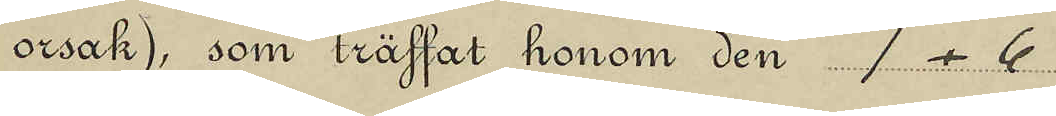orsak), som träffat honom den 1.6
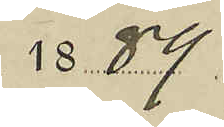1889.
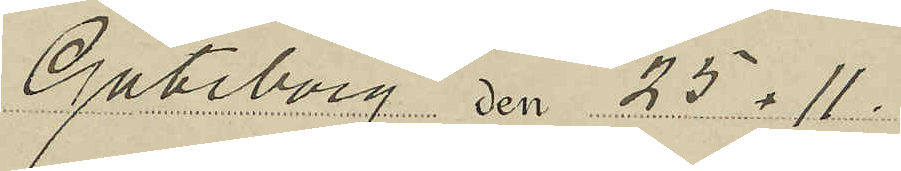Göteborg den 25.11.
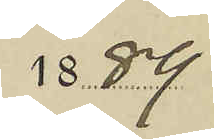1889
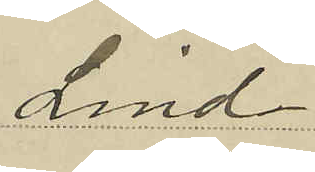Lind
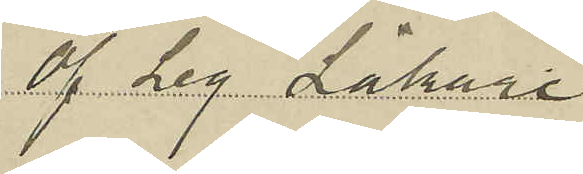Öf. Leg. Läkare
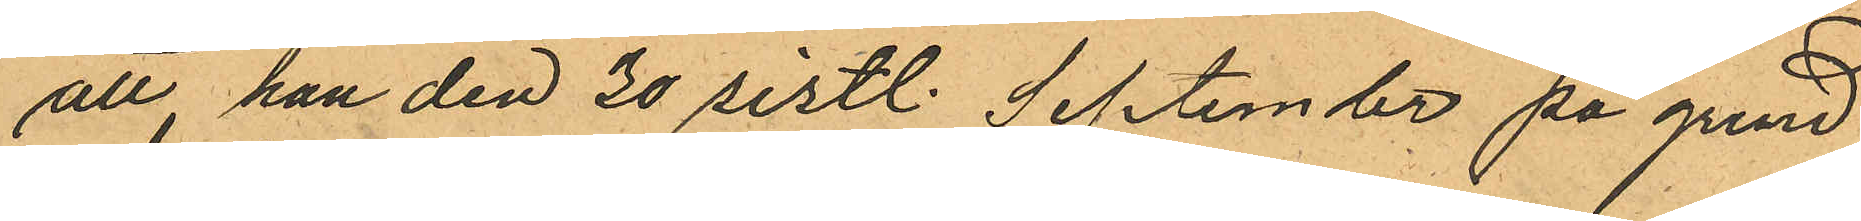att han den 30 sistl. September på grund
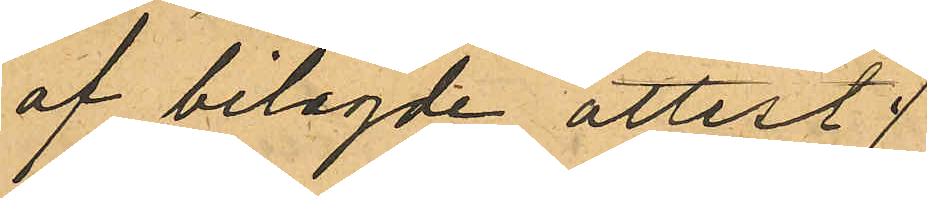af bilagde attest
